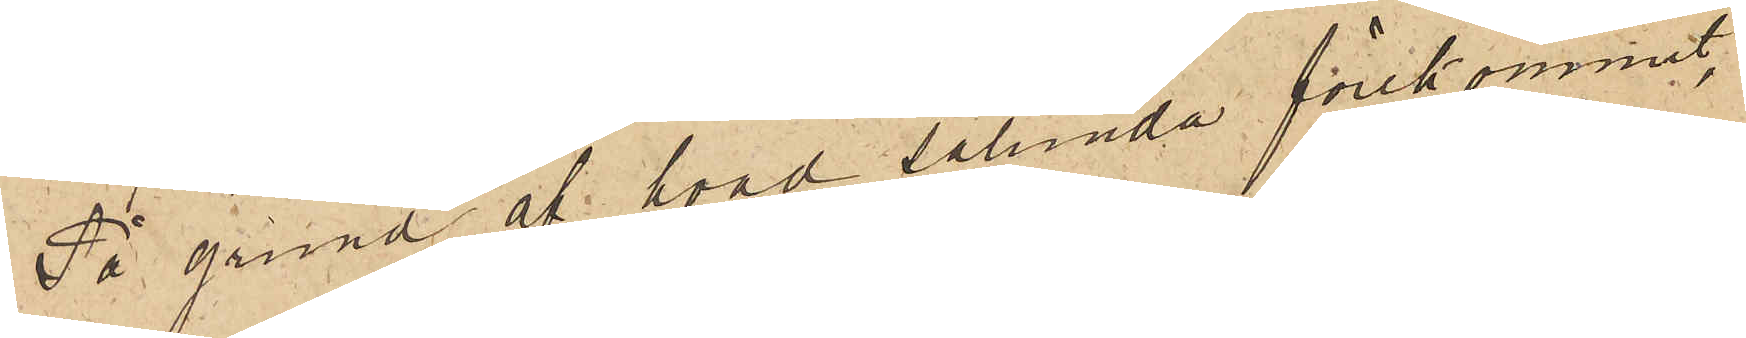På grund af hvad sålunda förekommit,
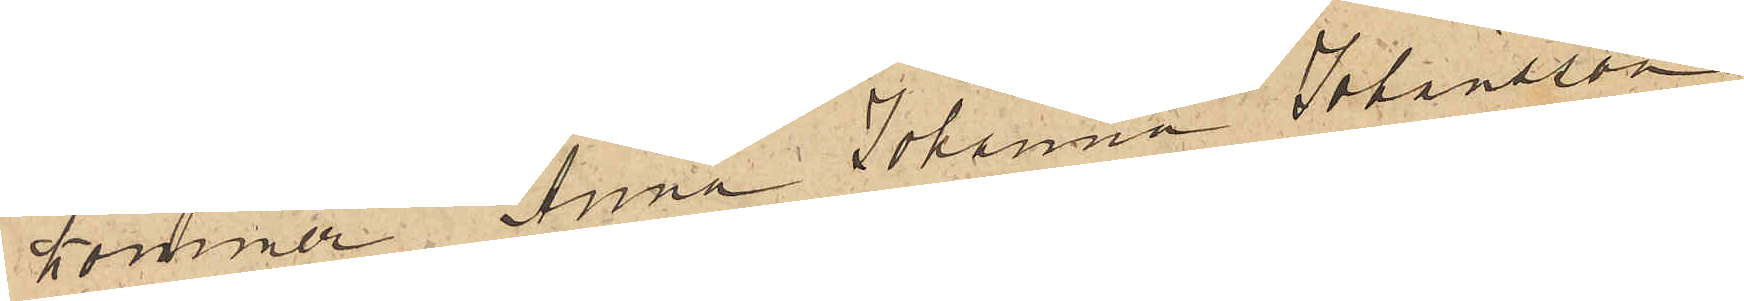kommer Anna Johanna Johansson
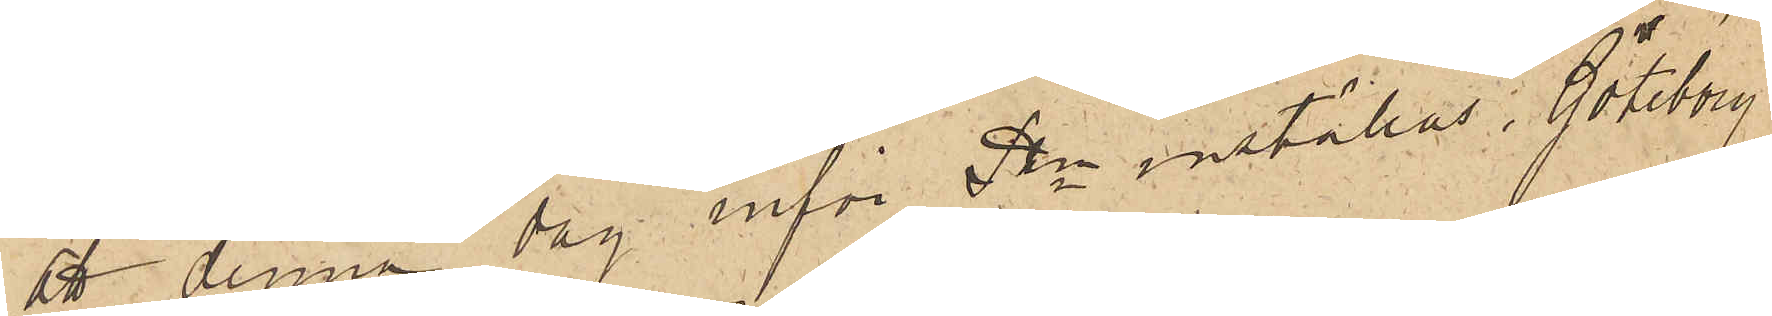att denna dag inför Pkn inställas. Göteborg
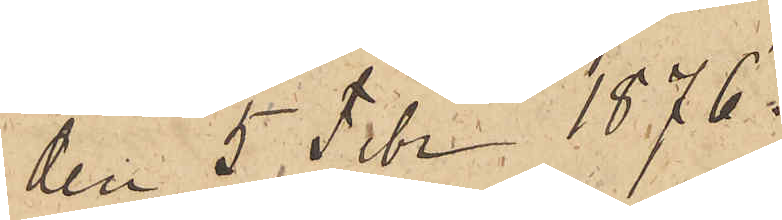den 5 Febr. 1876.
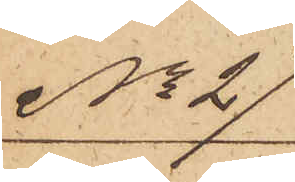No 21
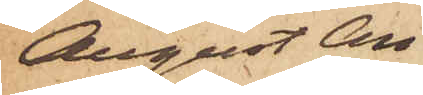August An¬
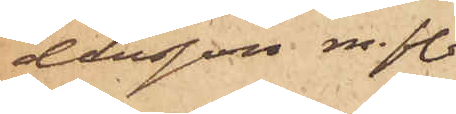dersson m. fl.
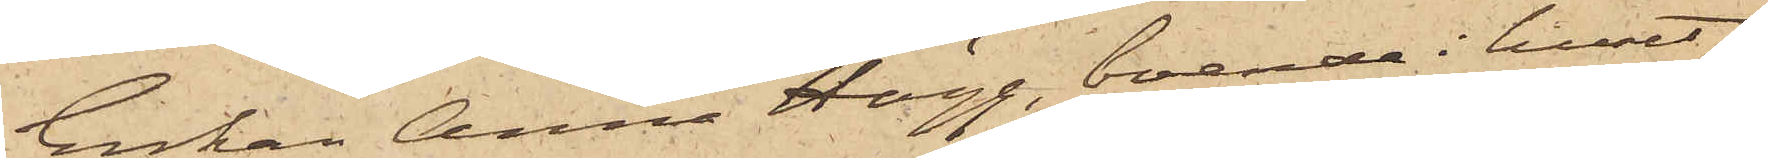Enkan Anna Hägg, boende i huset
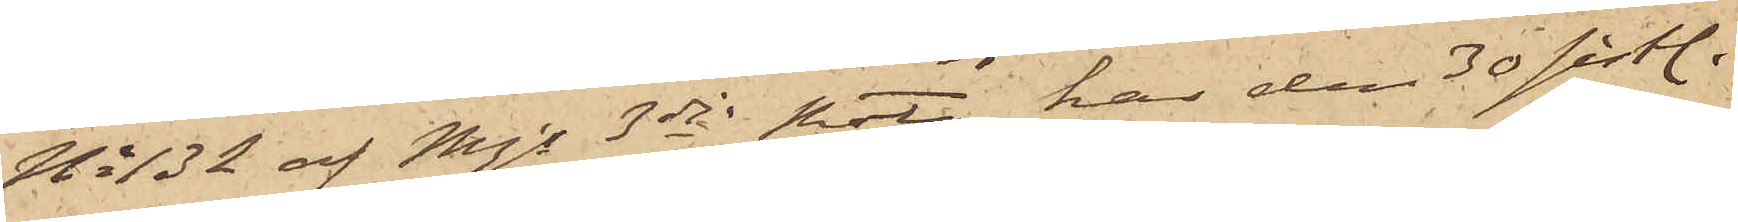No 132 af Mjs 3dje Rote, har den 30 sist.
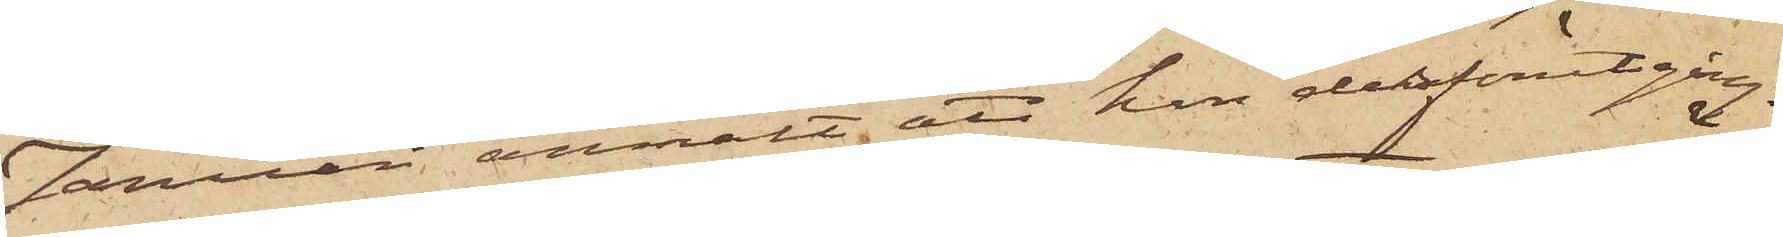Januari anmält, att hon derförutgång¬
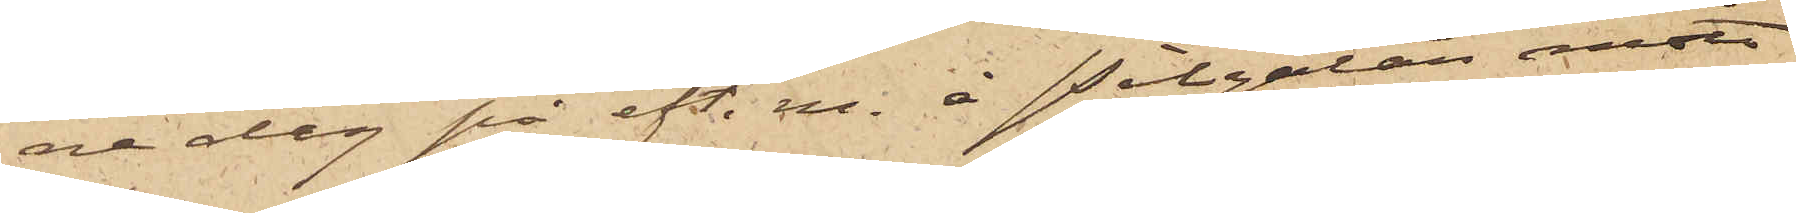ne dag på eft. m. å Pilgatan mött
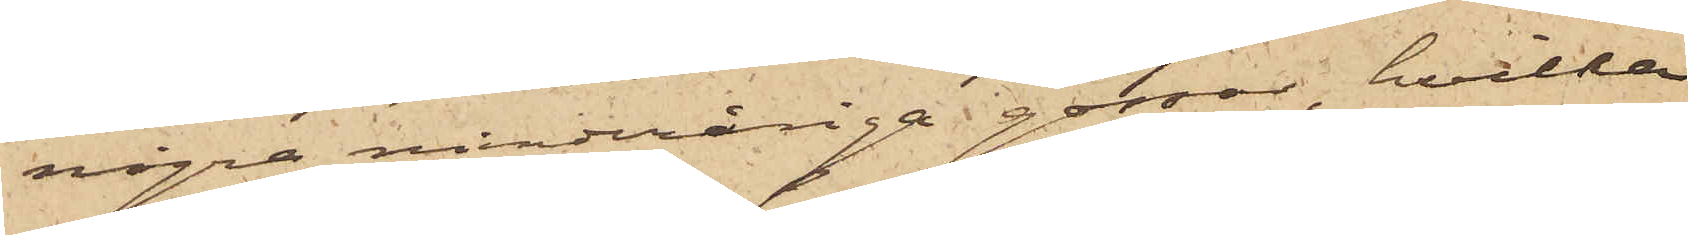några minderåriga gossar, hvilka
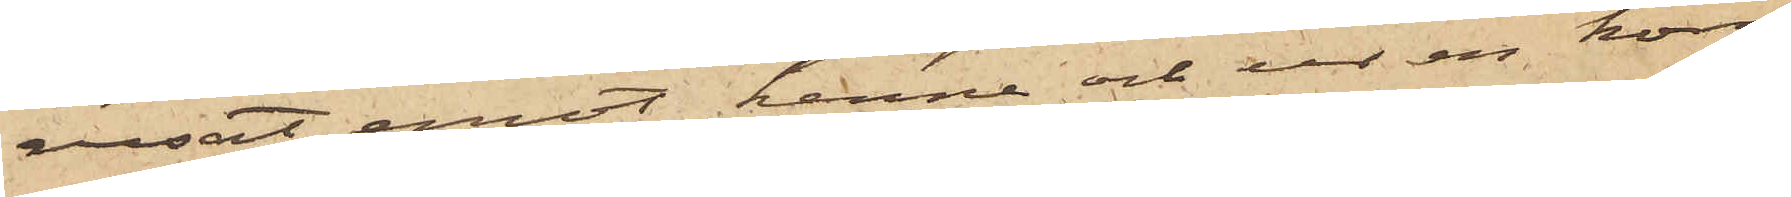rusat emot henne och ur en korg
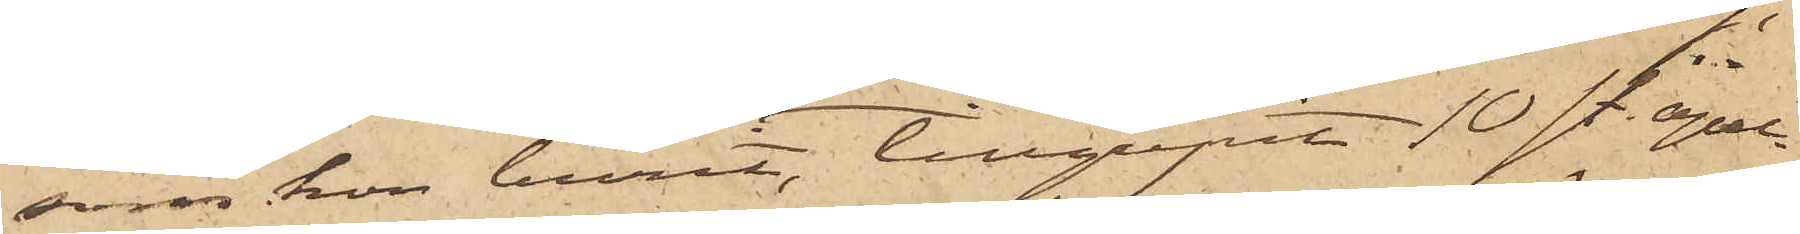som hon burit, tillgripit 10 sty. apel¬
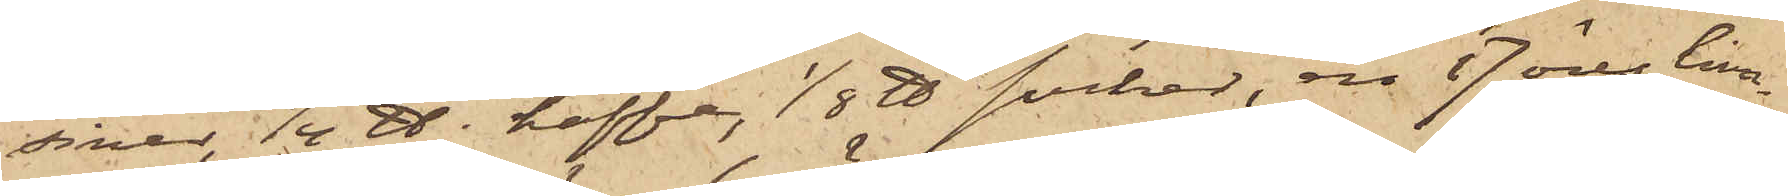siner, 1/4 ℔ kaffe, 1/8 ℔ socker, en 17 öres lim¬
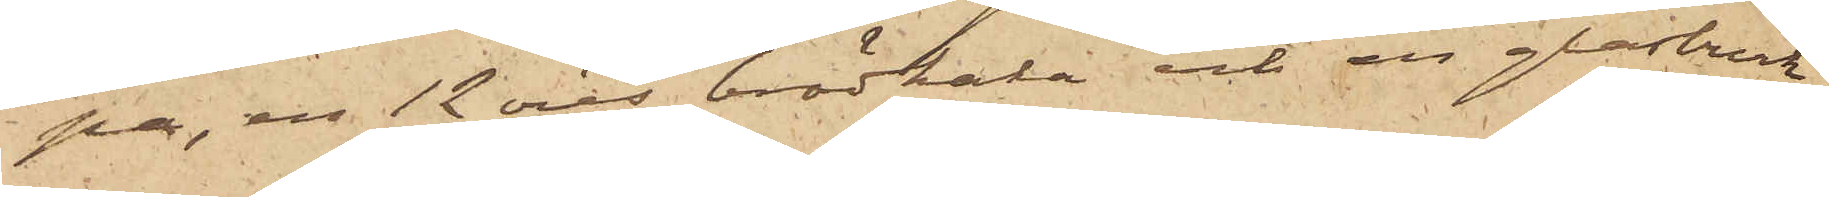pa, en 12 öres brödkaka och en glasburk
